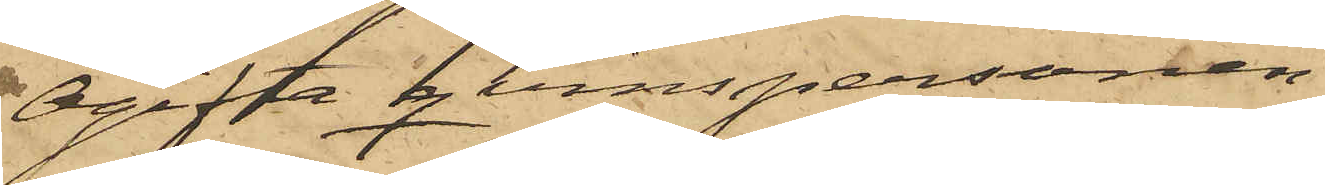Ogifta qvinspersonen
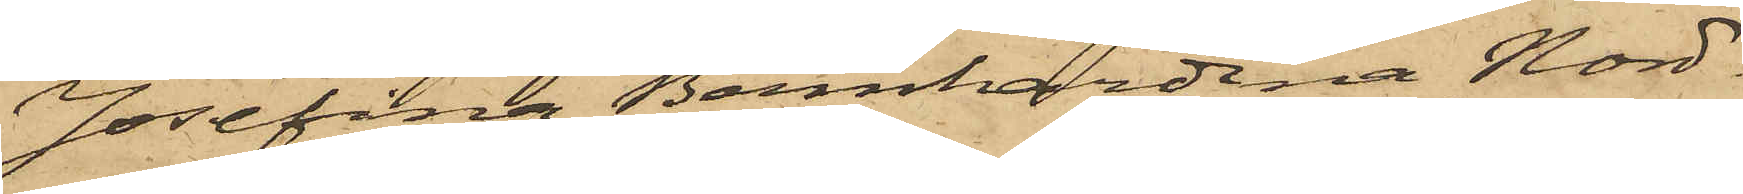Josefina Bernhardina Nord¬
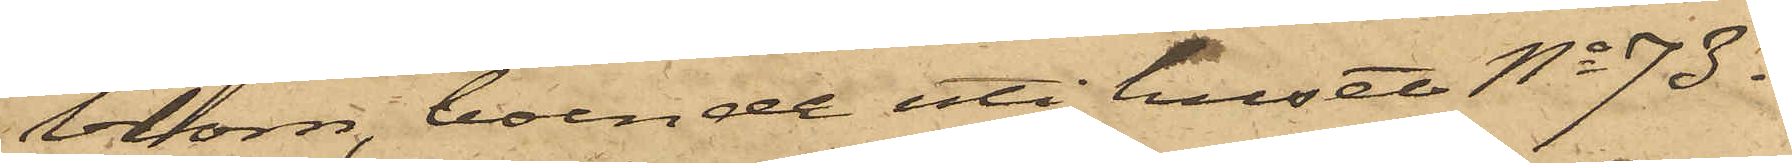blom, boende uti huset No 73 i
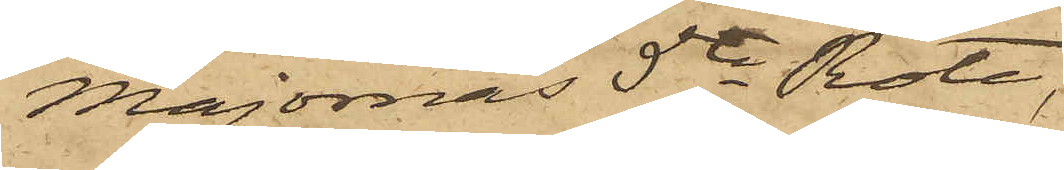Majornas 5te Rote,
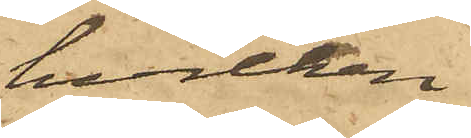hvilken
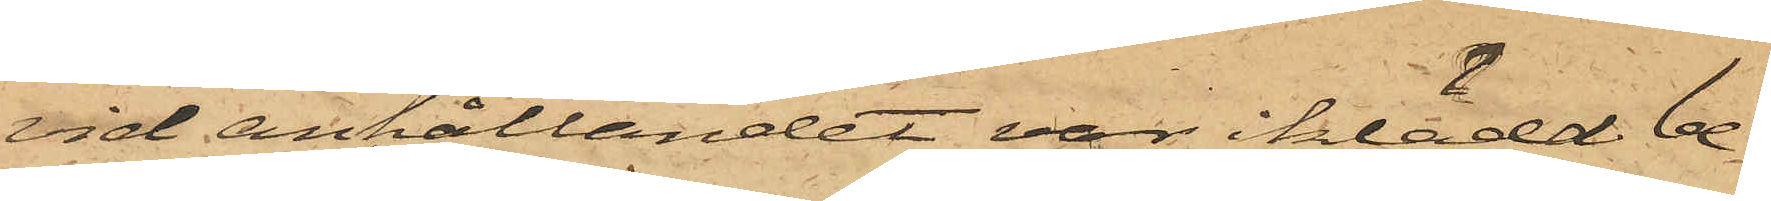vid anhållandet var iklädd be¬
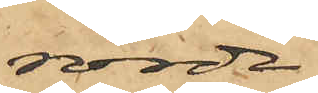rörde
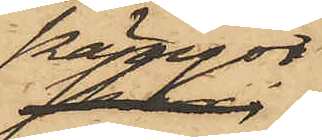kängor;
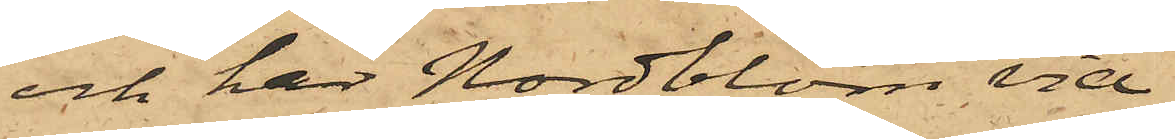och har Nordblom vid
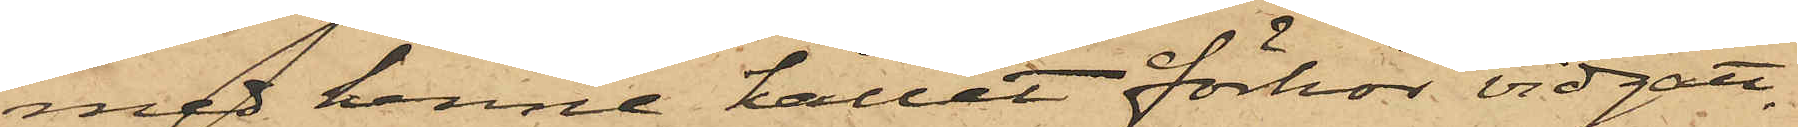med henne hållet förhör vidgått,
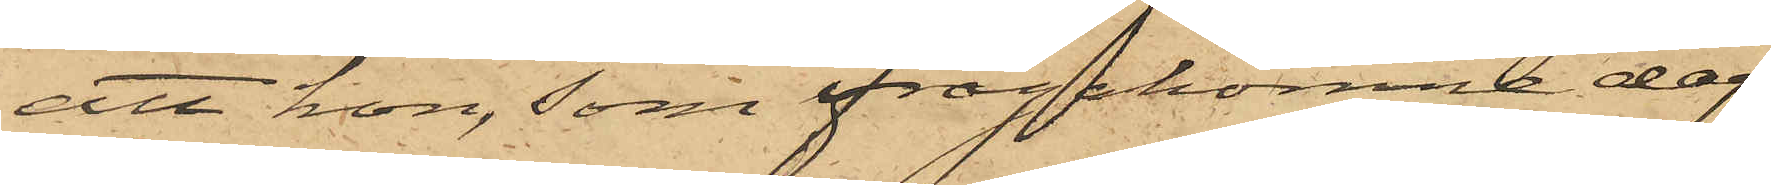att hon, som ifrågakomne dag
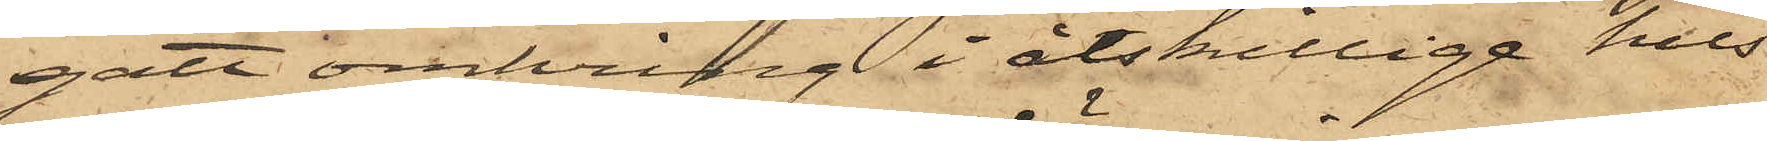gått omkring i åtskillige hus
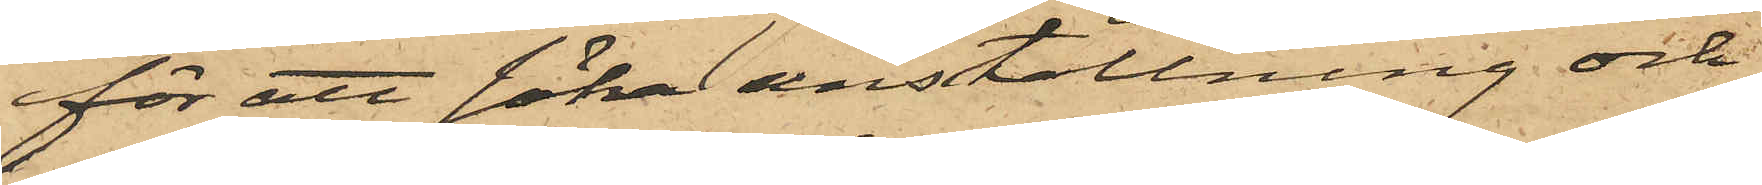för att söka anställning och
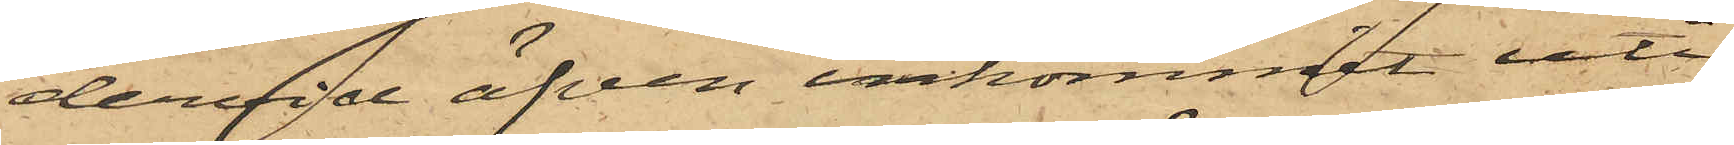dervid äfven inkommit uti
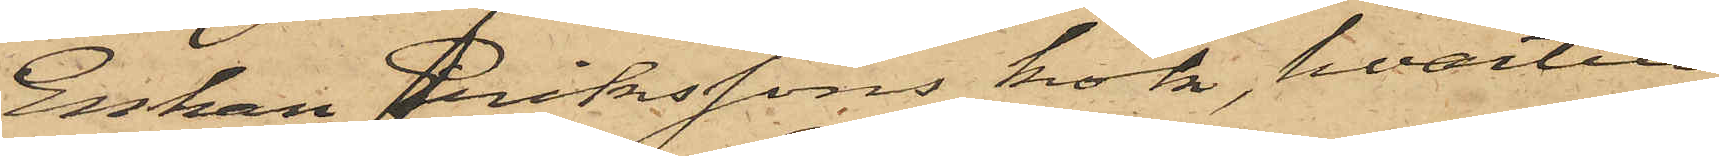Enkan Erikssons kök, hvartill
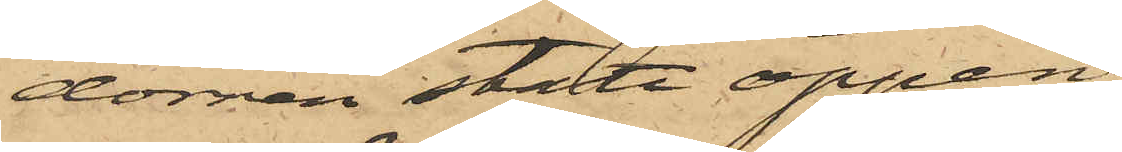dörren stått öppen,
